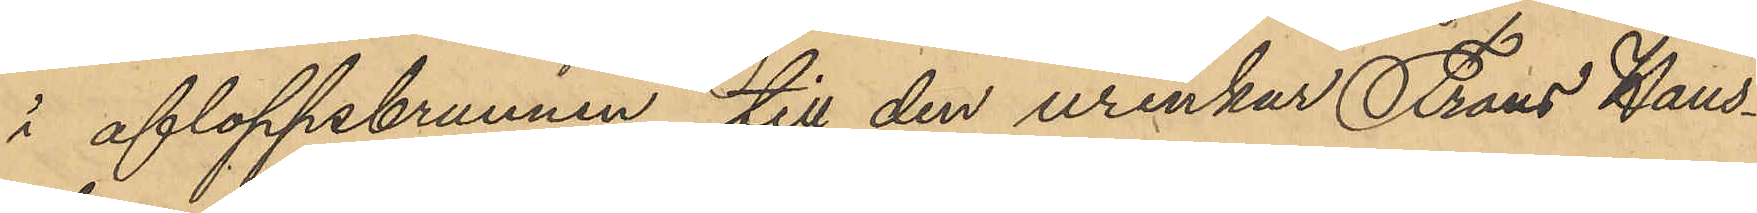i afloppsbrunnen till den urinkur Frans Häns¬
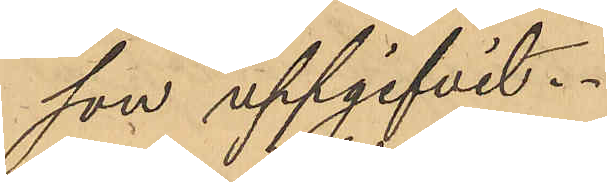son uppgifvit.
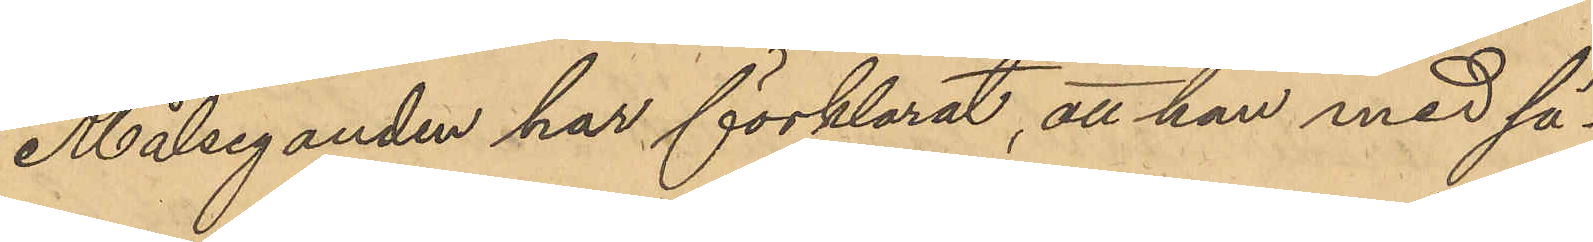Målseganden har förklarat, att han med sä¬
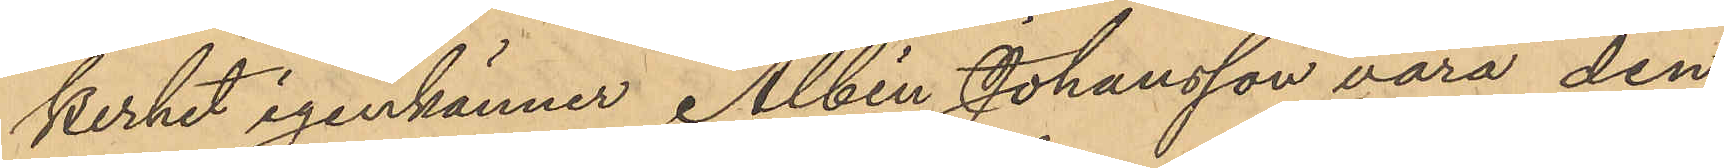kerhet igenkänner Albin Johansson vara den
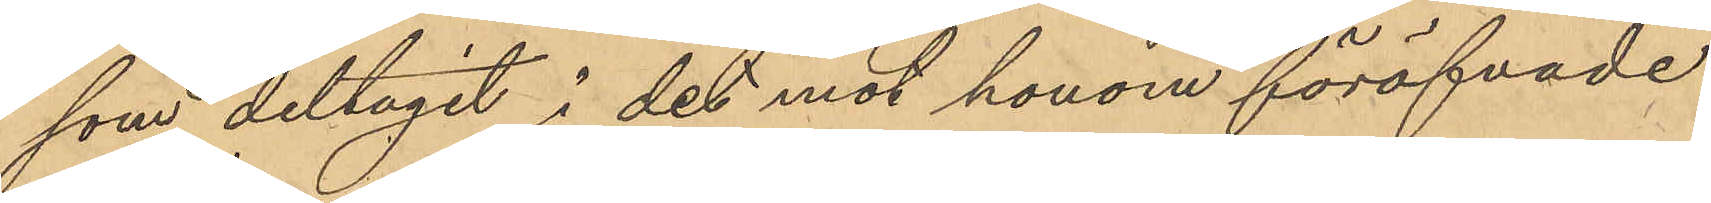som deltagit i det mot honom föröfvade
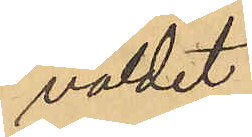våldet.
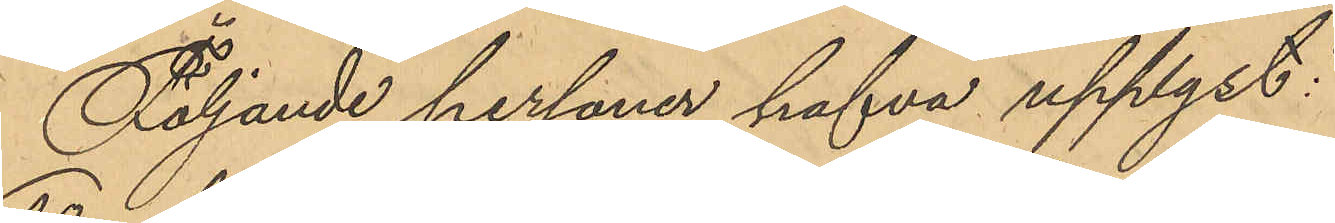Följande personer hafva upplyst:
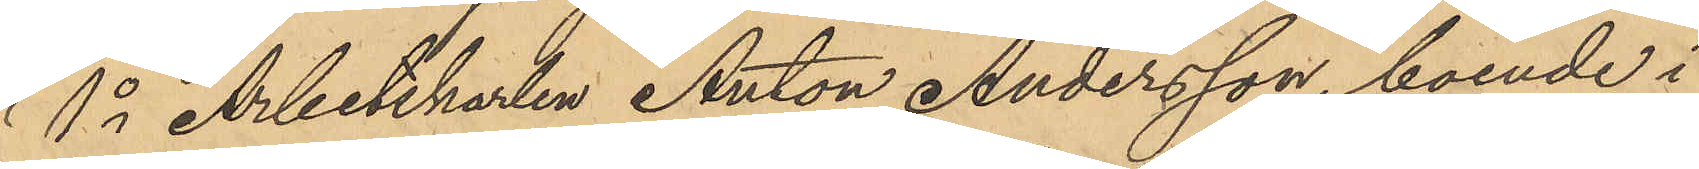1o Arbetskarlen Anton Andersson, boende i
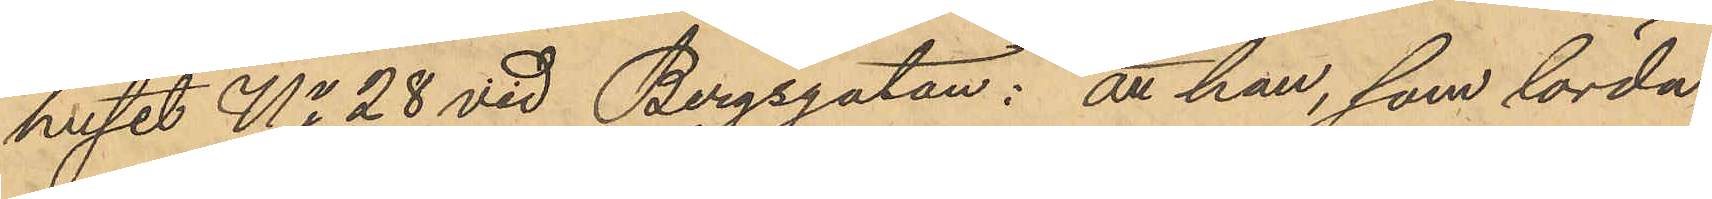huset No 28 vid Bergsgatan: att han, som lörda¬
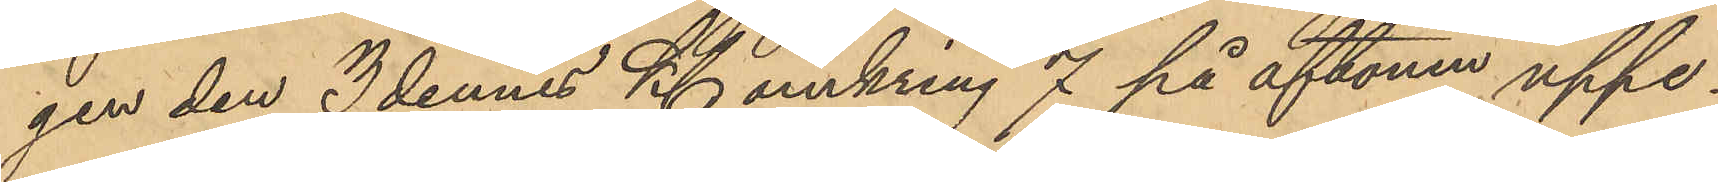gen den 3 dennes Kl omkring 7 på aftonen uppe¬
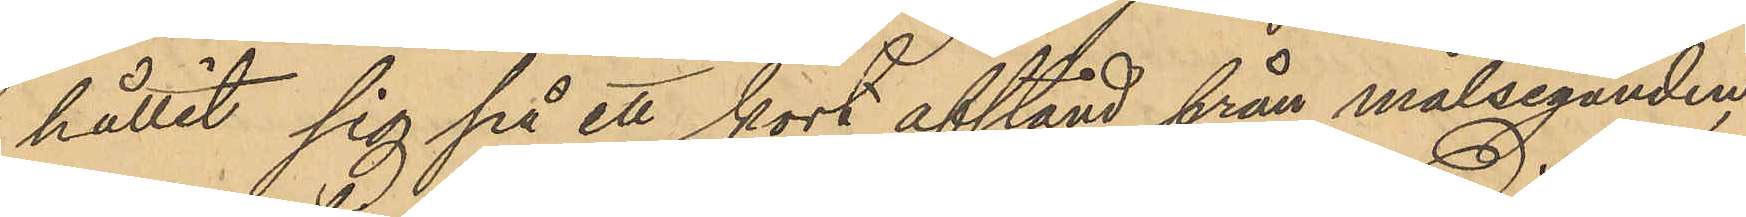hållit sig på ett kort afstånd från målseganden
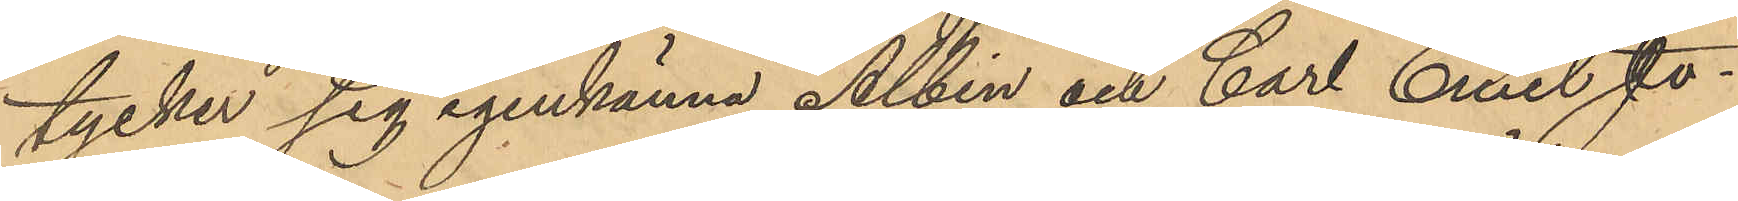tycker sig igenkänna Albin och Carl Emil Jo¬
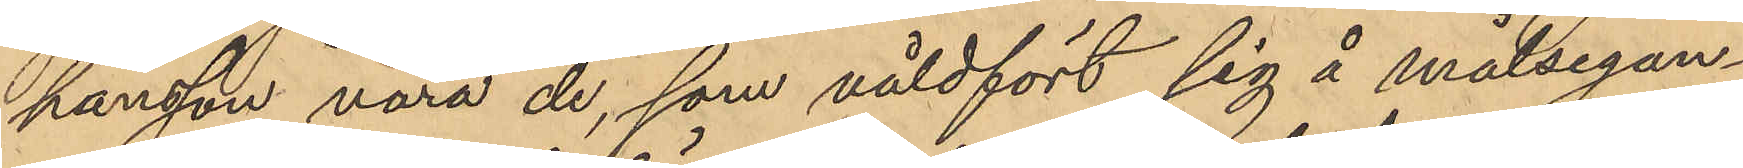hansson vara de, som våldfört sig å målsegan¬
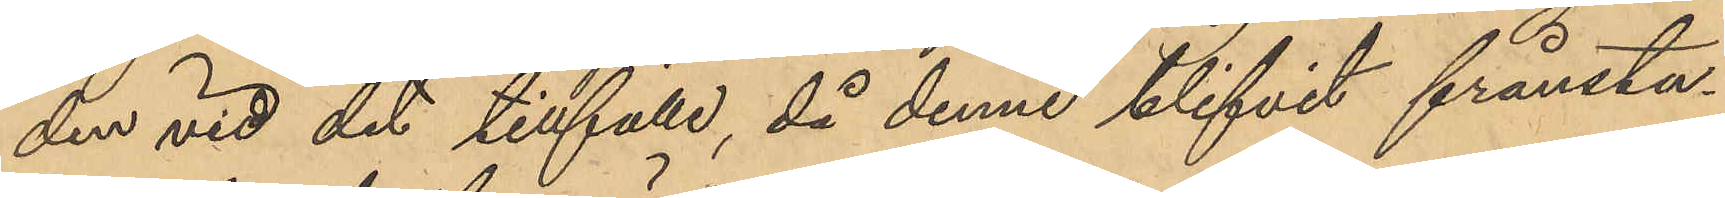den vid det tillfälle, då denne blifvit frånstu¬
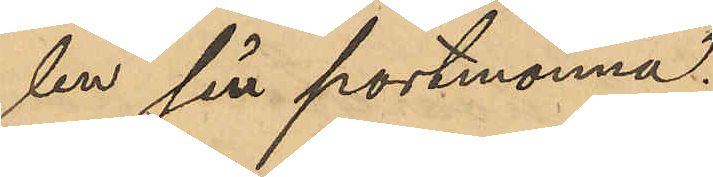len sin portmonnä.
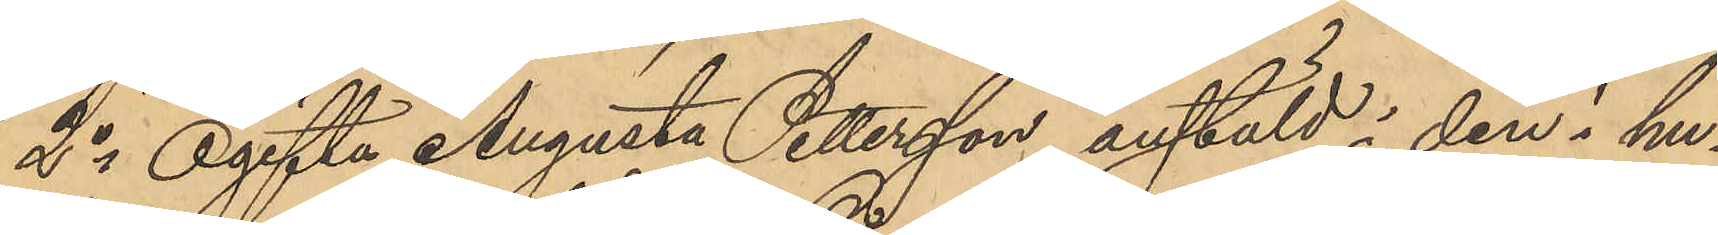2o Ogifta Augusta Pettersson anstäld i den i hu¬
